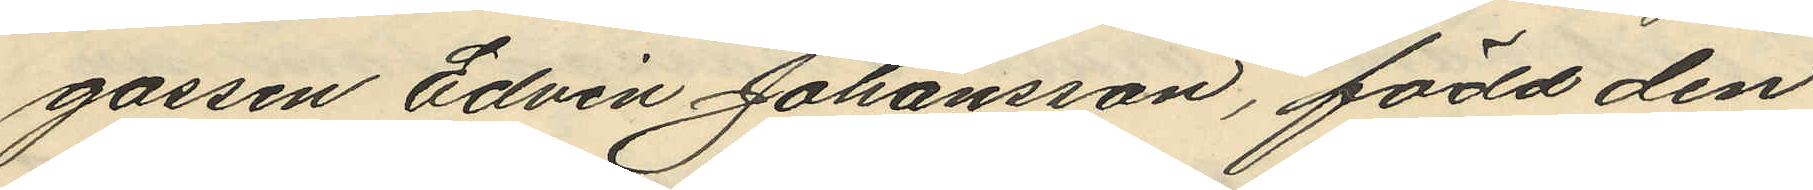gossen Edvin Johansson, född den
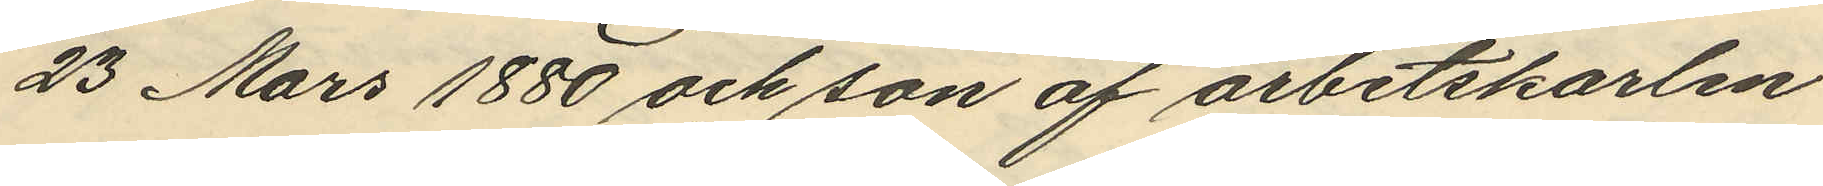23 Mars 1880 och son af arbetskarlen
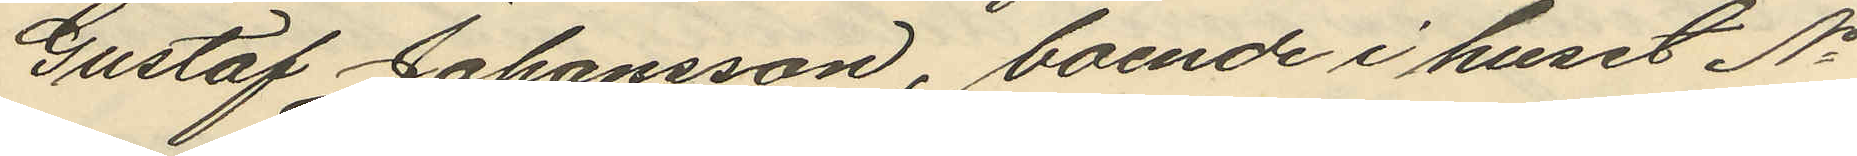Gustaf Johansson, boende i huset No
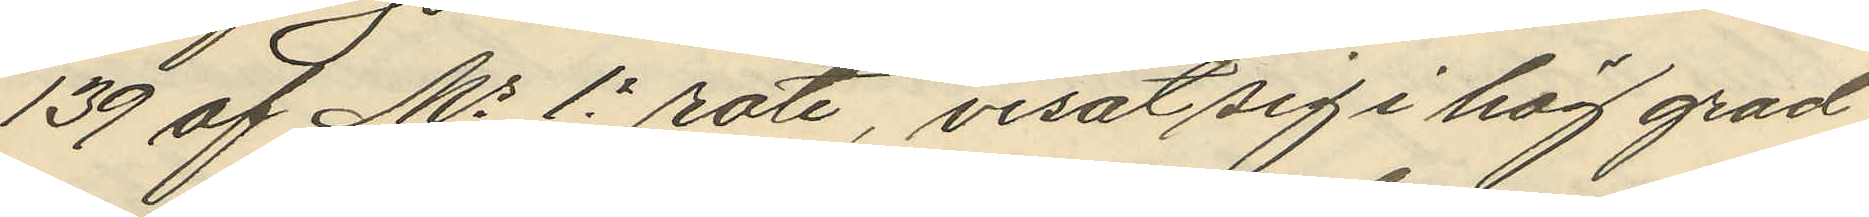139 af Ms 1e rote, visat sig i hög grad
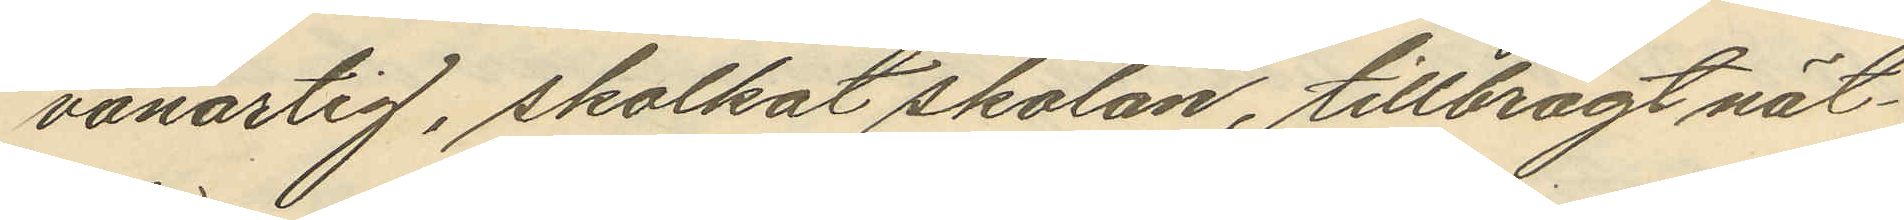vanartig, skolkat skolan, tillbragt nät¬
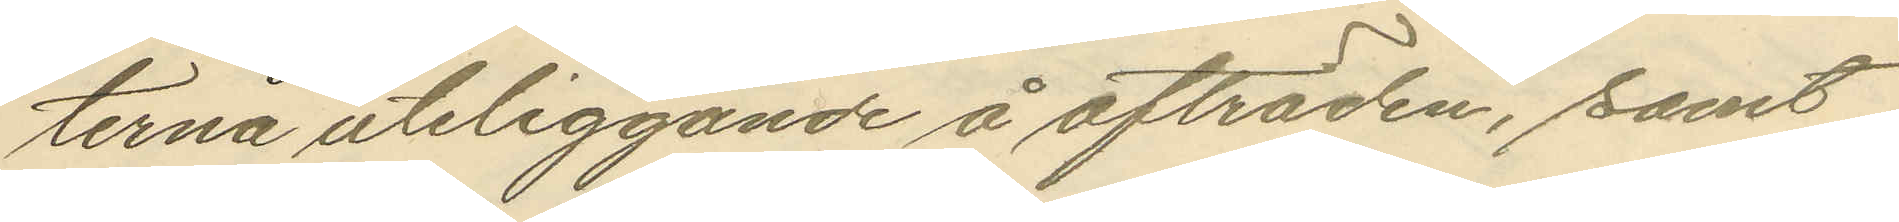terna uteliggande å afträden, samt
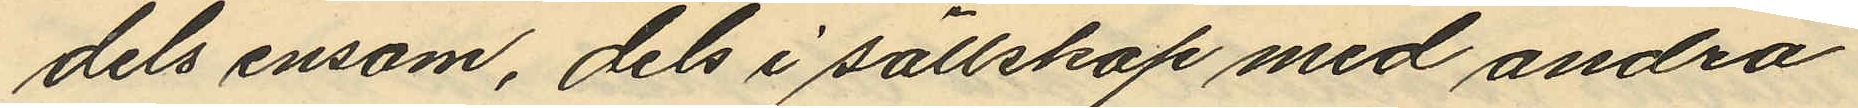dels ensam, dels i sällskap med andra
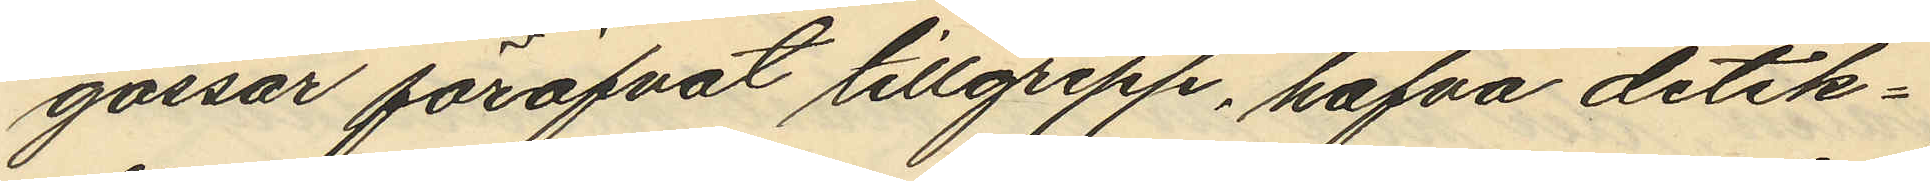gossar föröfvat tillgrepp, hafva detek¬
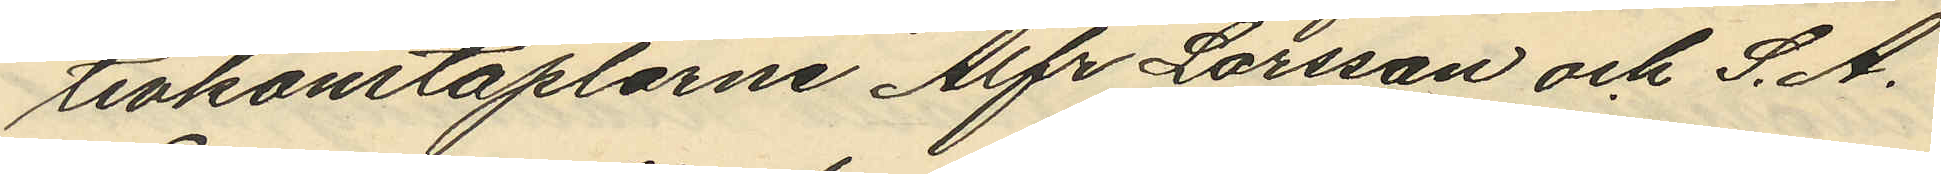tivkonstaplarne Alfr Larsson och S. A.
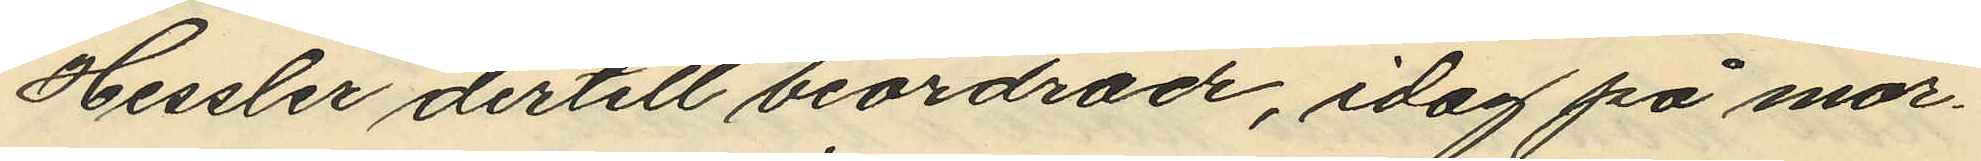Hessler dertill beordrade, idag på mor¬
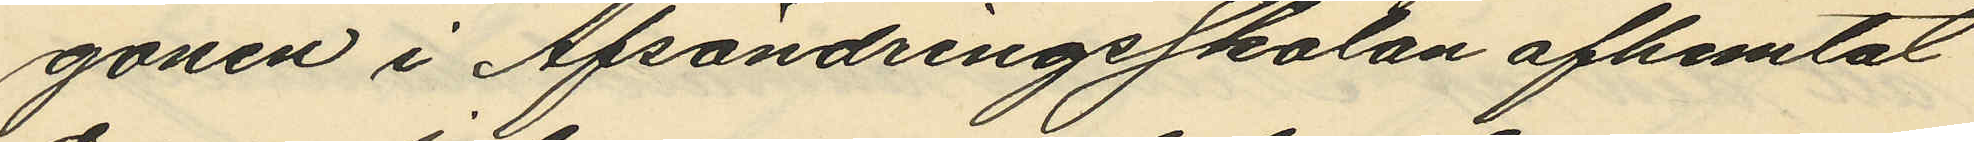gonen i Afsöndringsskolan afhemtat
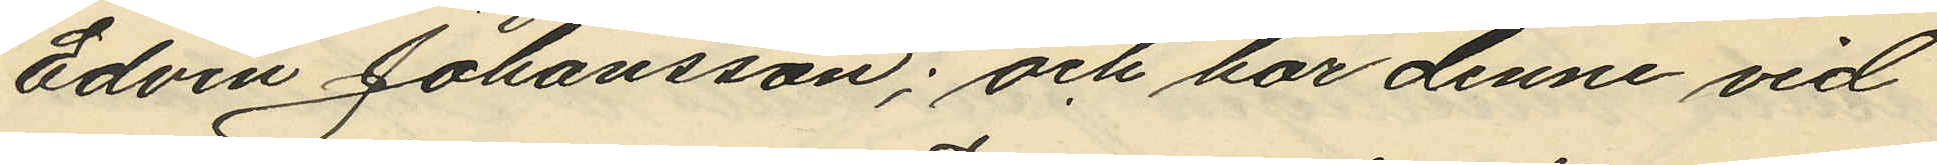Edvin Johansson; och har denne vid
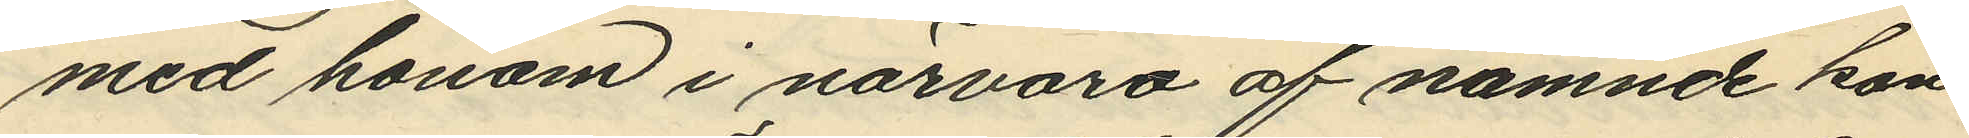med honom i närvaro af nämnde kon¬
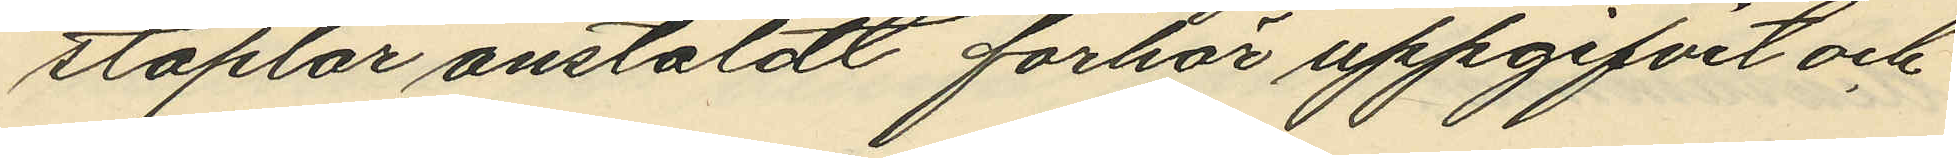staplar anstäldt förhör uppgifvit och
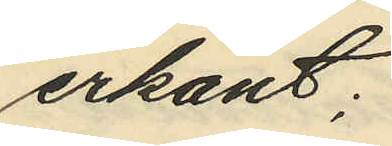erkänt:
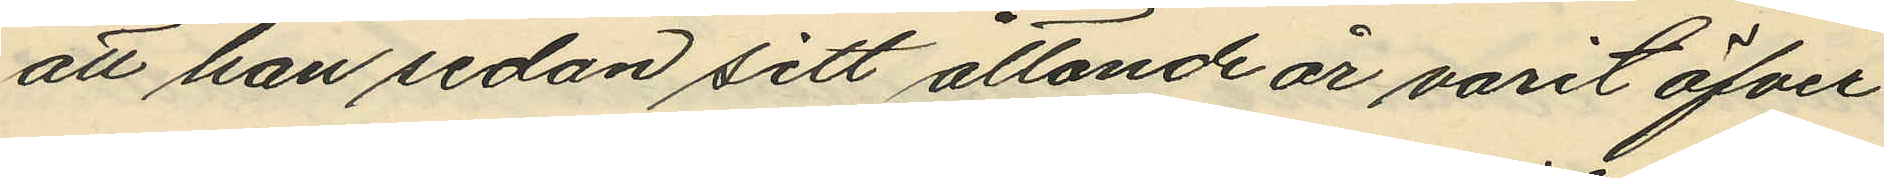att han sedan sitt åttonde år varit öfver¬
